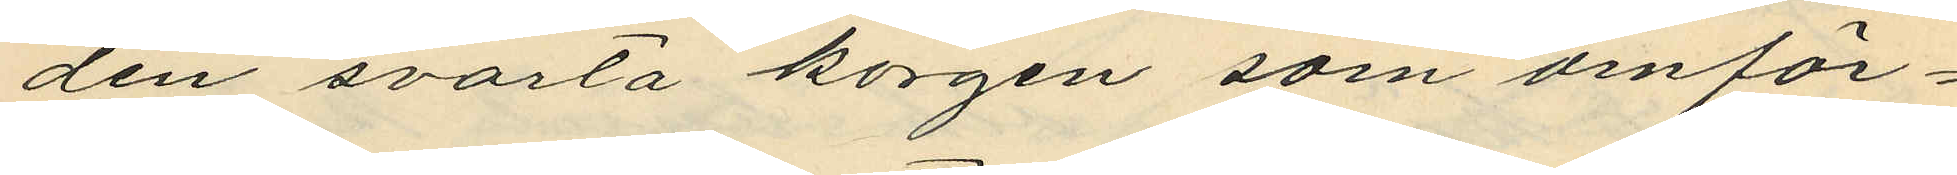den svarta korgen som omför¬
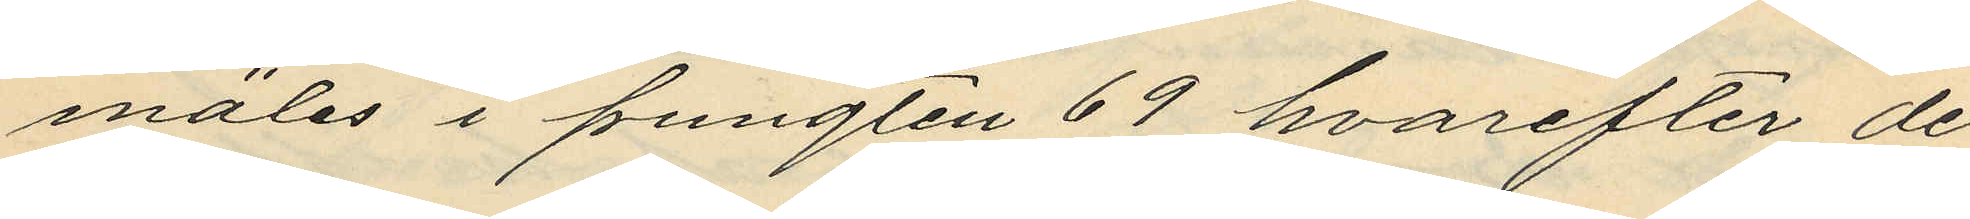mäles i pungten 69 hvarefter de
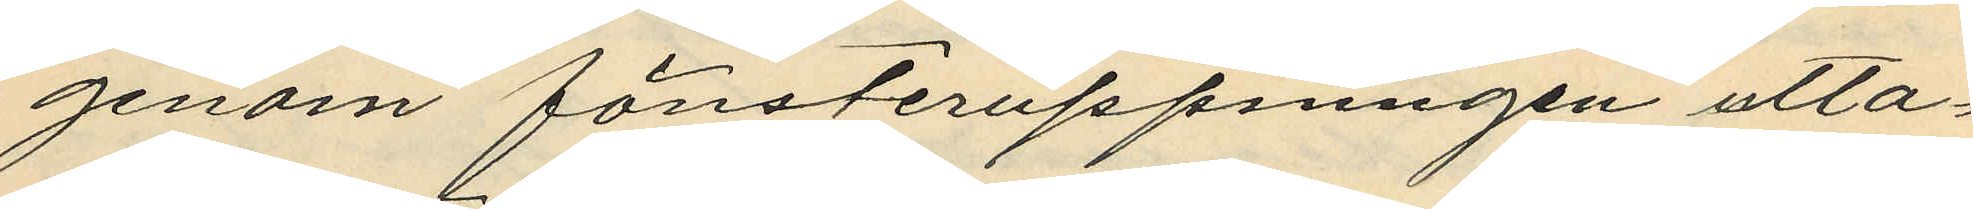genom fönsteruppningen utta¬
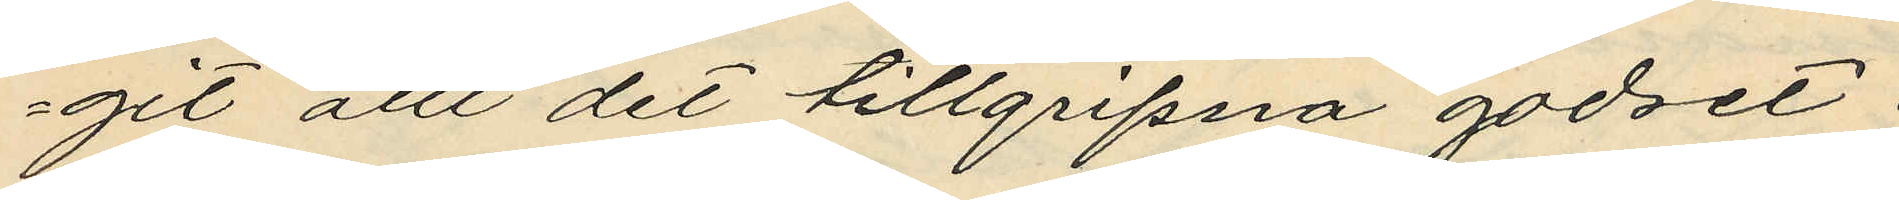git allt det tillgripna godset;
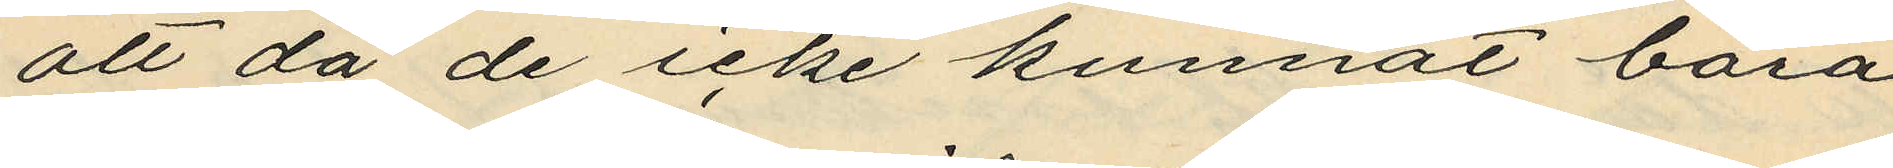att då de icke kunnat bära
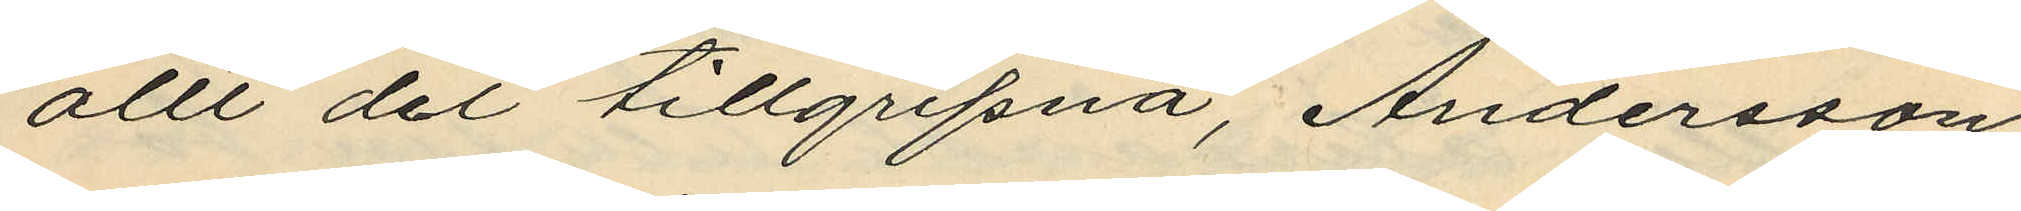allt det tillgripna, Andersson,
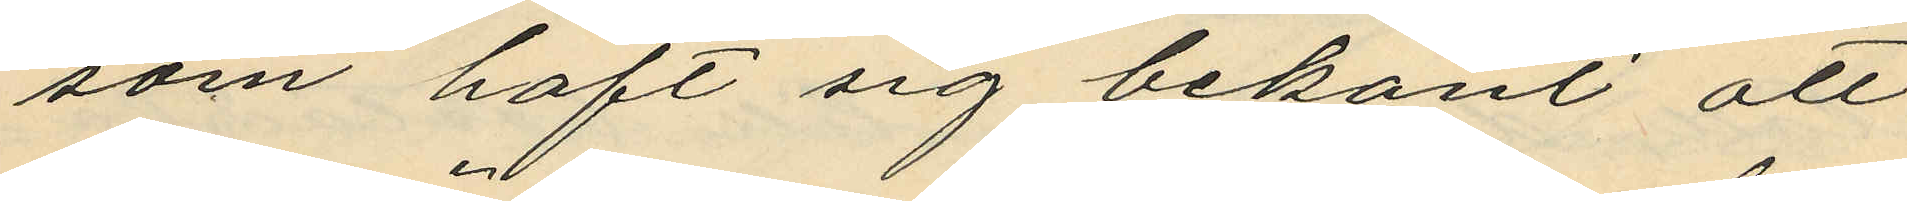som haft sig bekant att
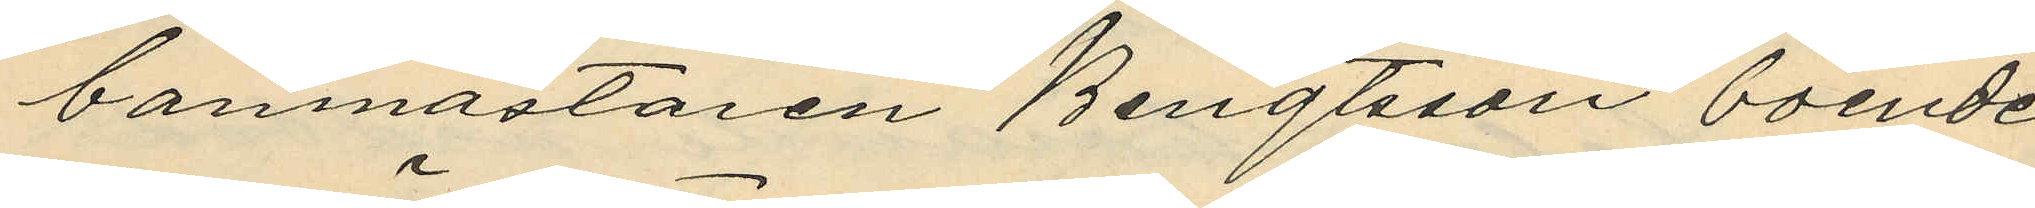banmästaren Bengtsson boende
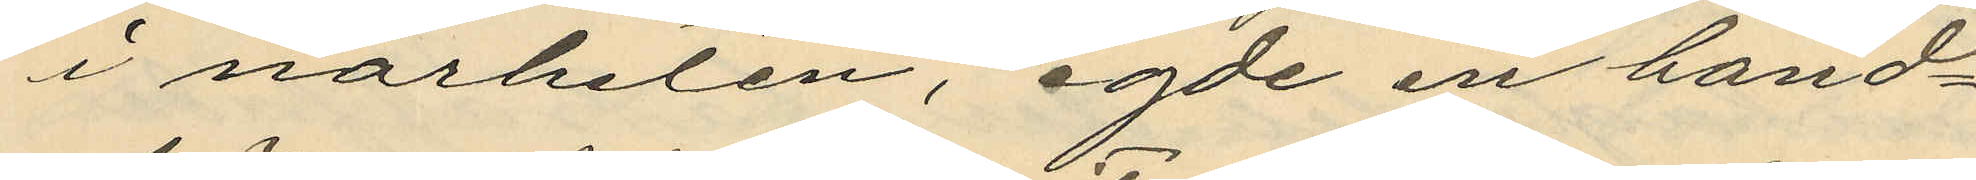i närheten, egde en hand¬
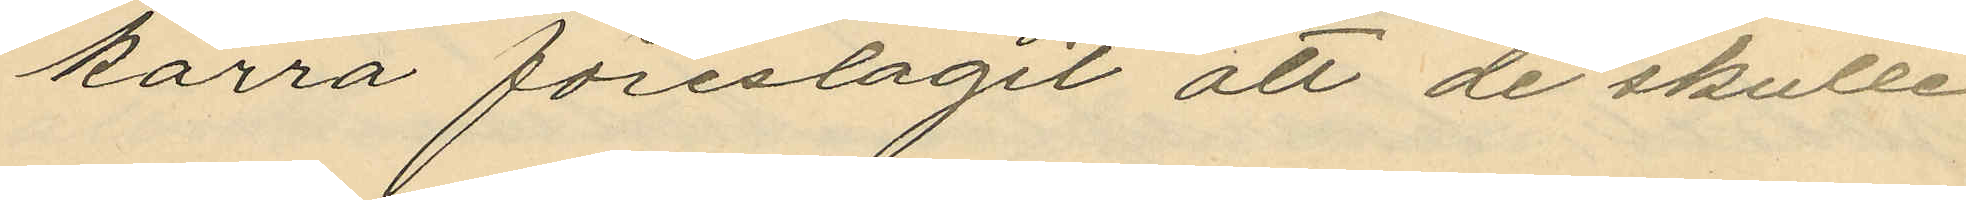kärra föreslagit att de skulle
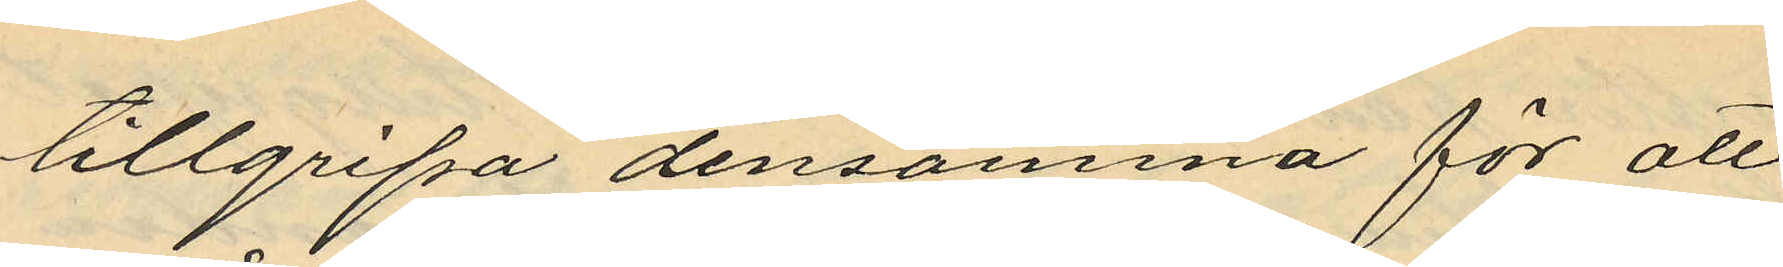tillgripa densamma för att
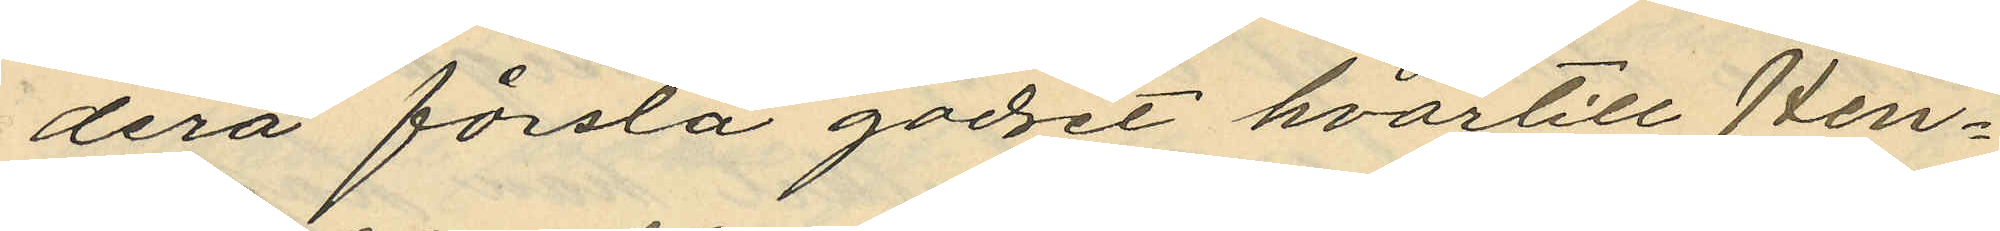derå forsla godset hvartill Hen¬
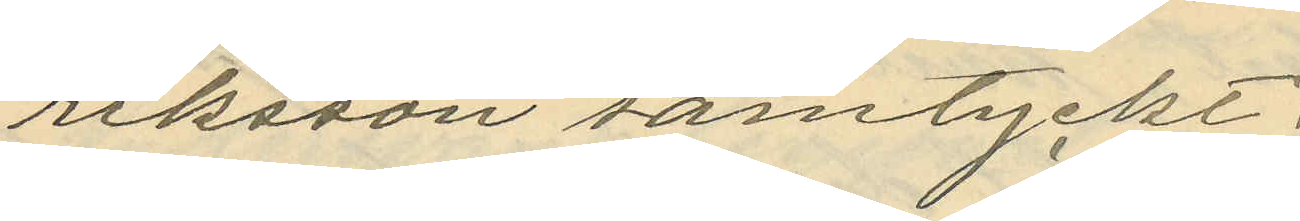riksson samtyckt;
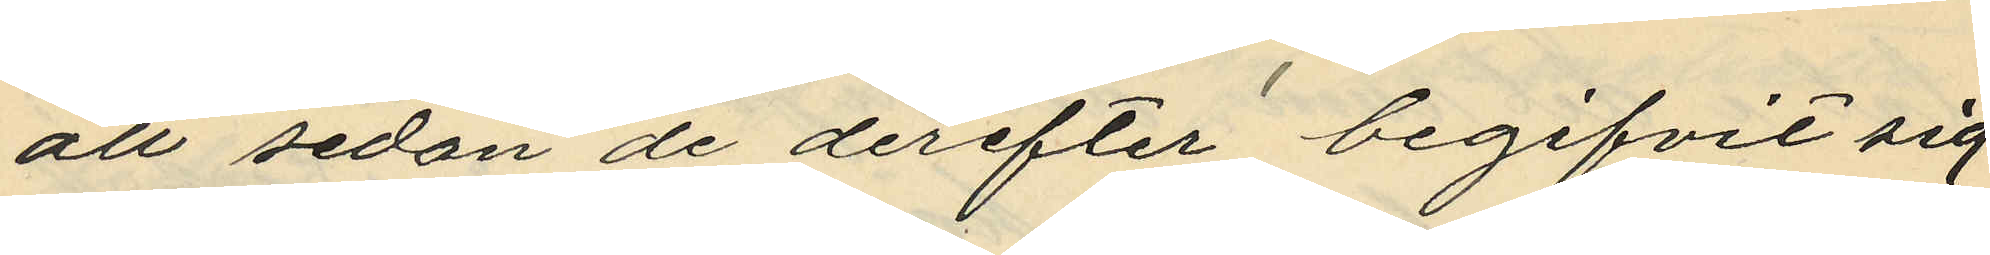att sedan de derefter begifvit sig
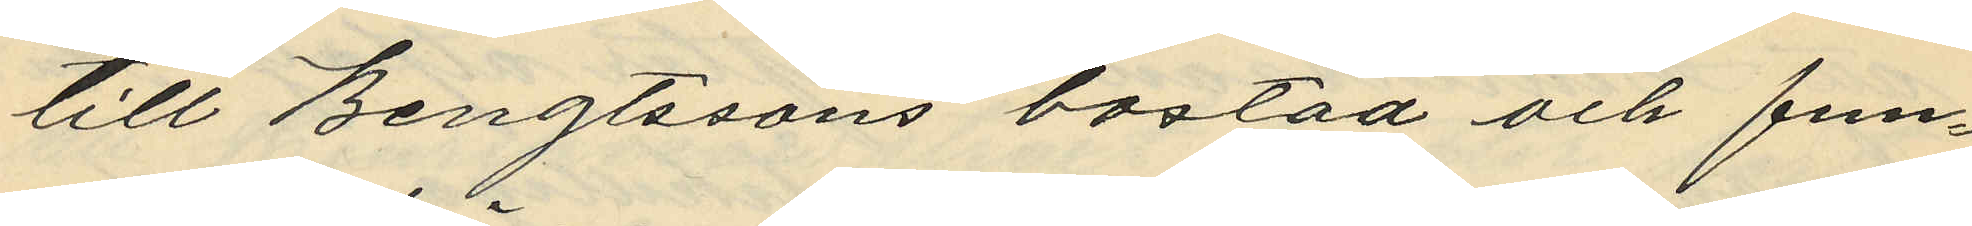till Bengtssons bostad och fun¬
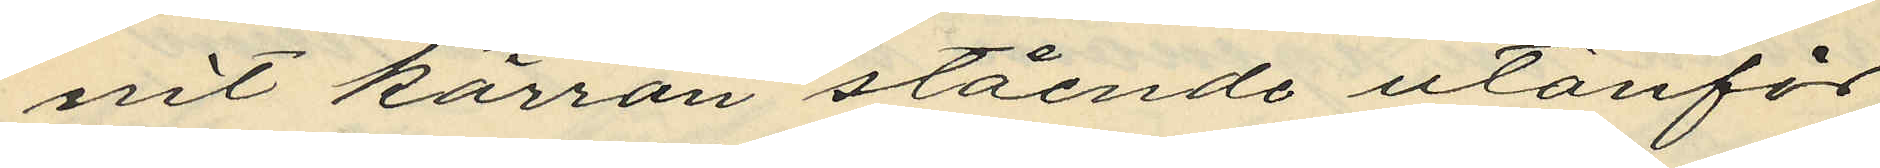nit kärran stående utanför
